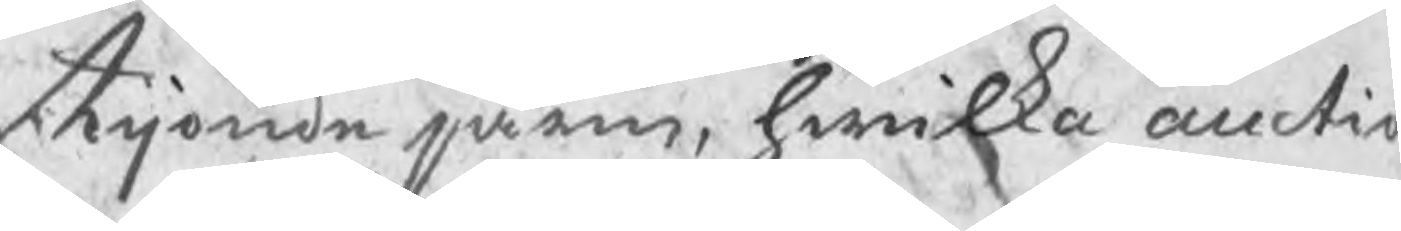tijonde järn, hwilka auctio
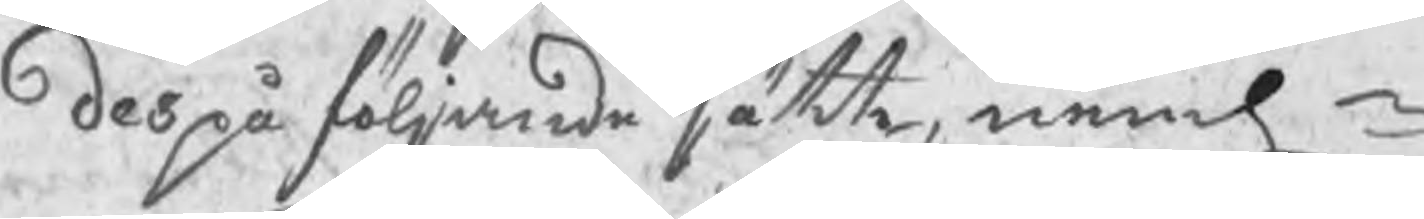des på följande sätt, nemln
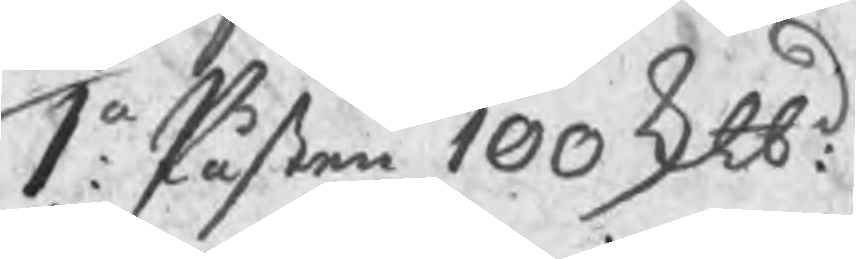1o: Påsten 100 ktbd:
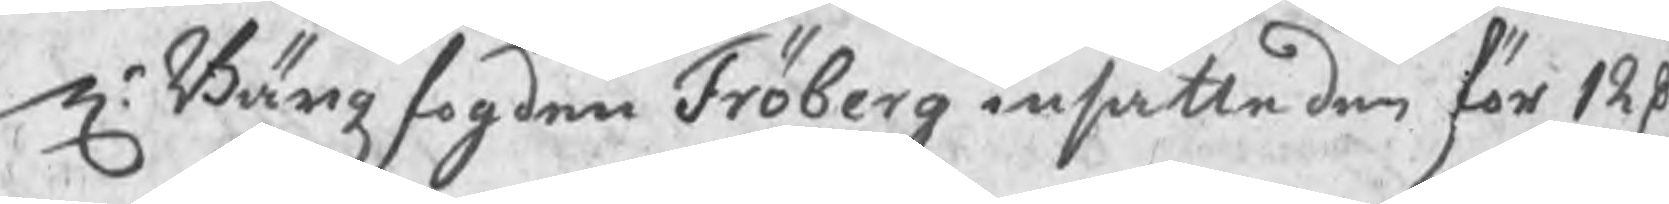Hr Bärgzfogden Fröberg insatte den för 12 R
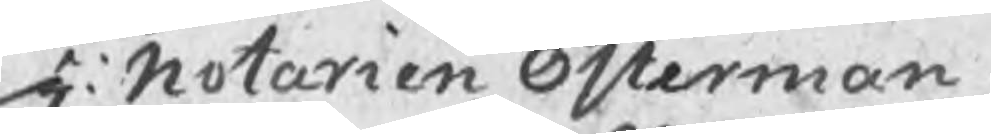H: Notarien Österman
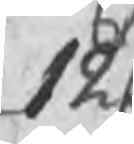12 C
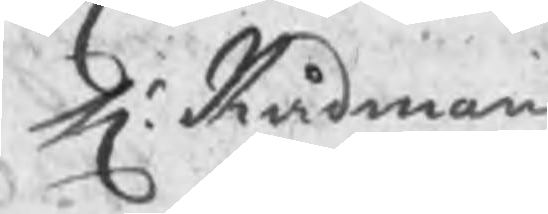Hr Rådman 
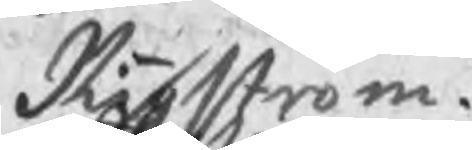Rigström
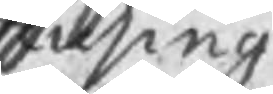Husing
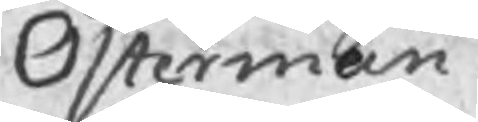Österman
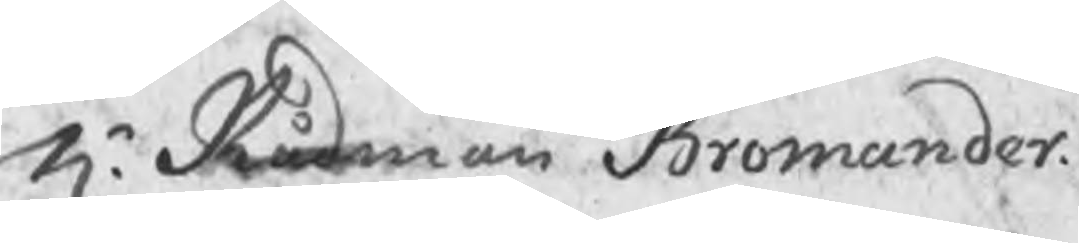Hr Rådman Bromander
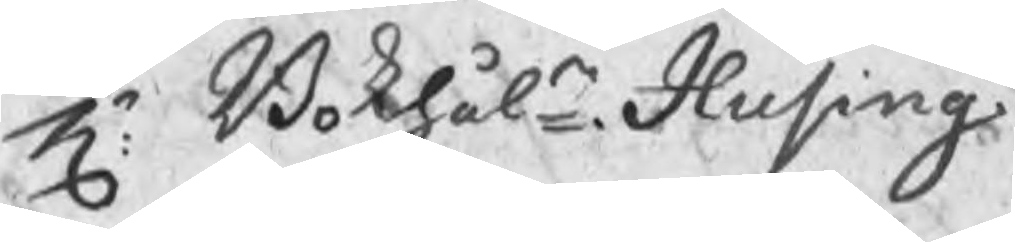Hr Bokhåln Husing
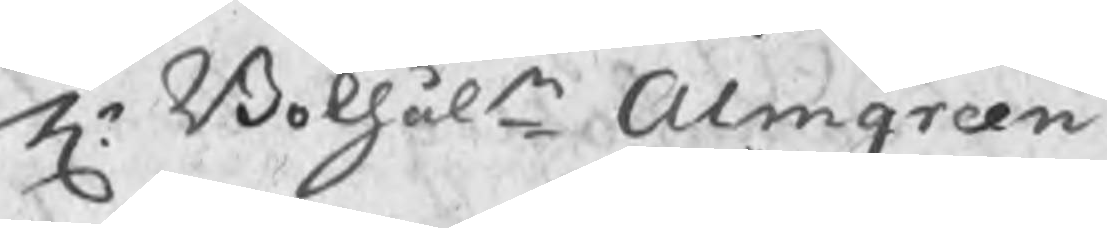Hr Bokhåln Almgren
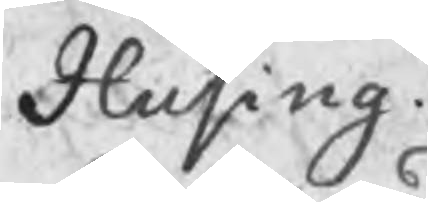Husing
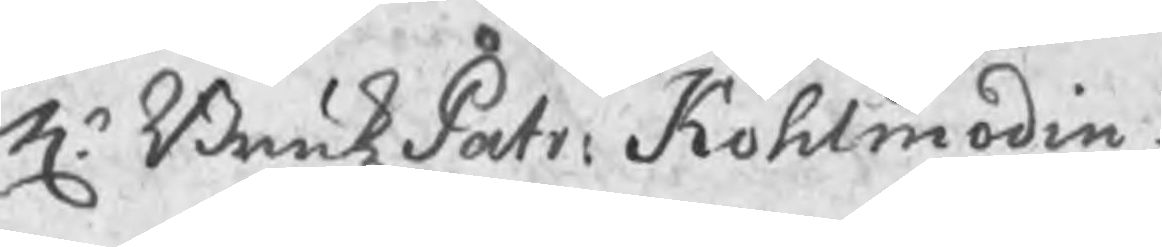Hr BrukzPatr: Kohlmodin
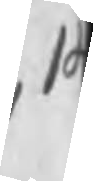14
